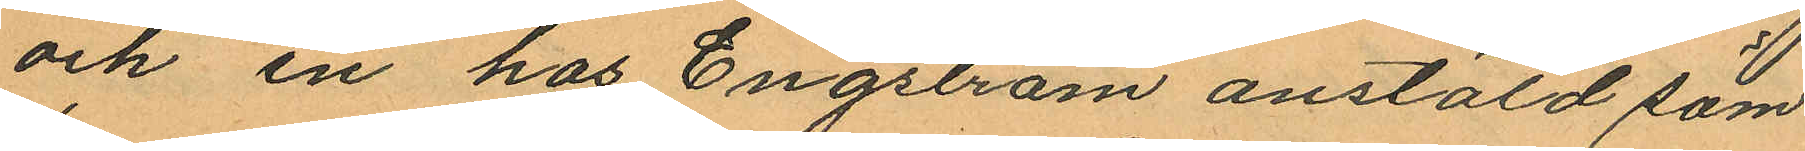och en hos Engström anstäld söm¬
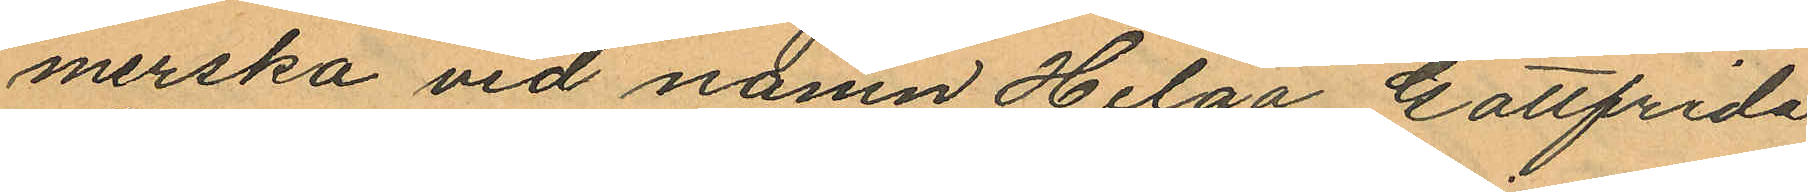merska vid namn Helga Gottfrida
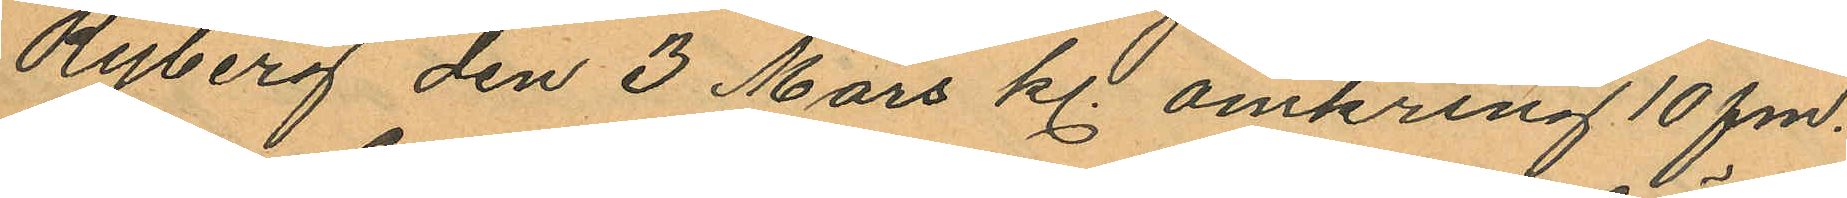Ryberg den 3 Mars kl. omkring 10 fm.
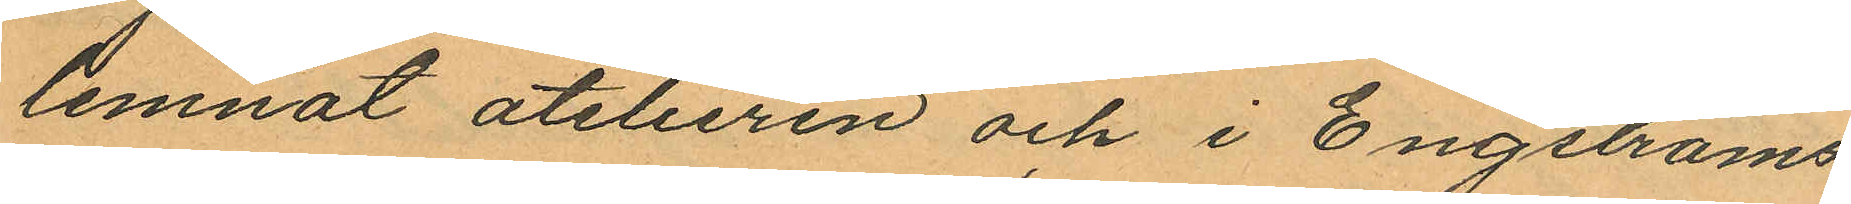lemnat atelieren och i Engströms
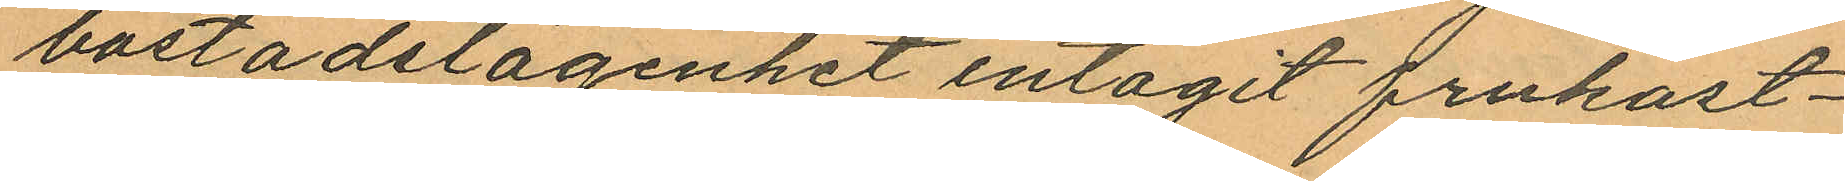bostadslägenhet intagit frukost¬
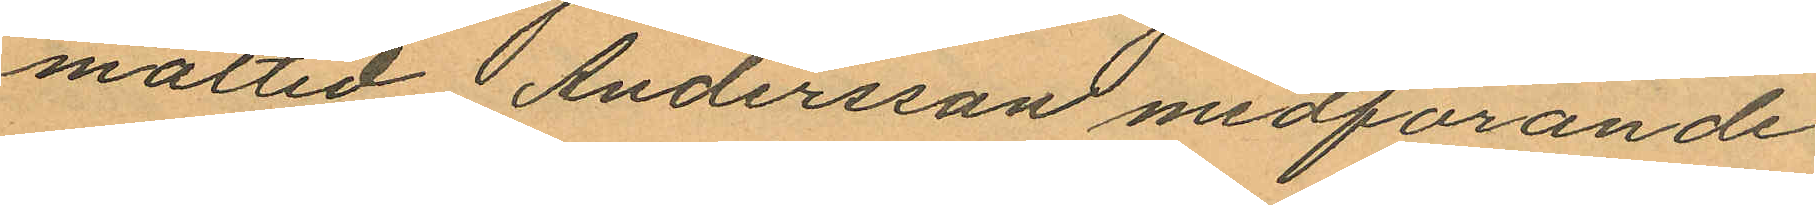måltid Andersson medförande
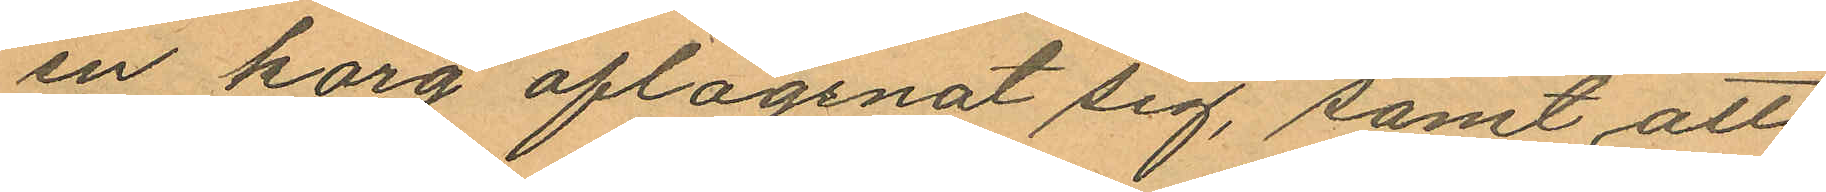en korg aflägsnat sig, samt att
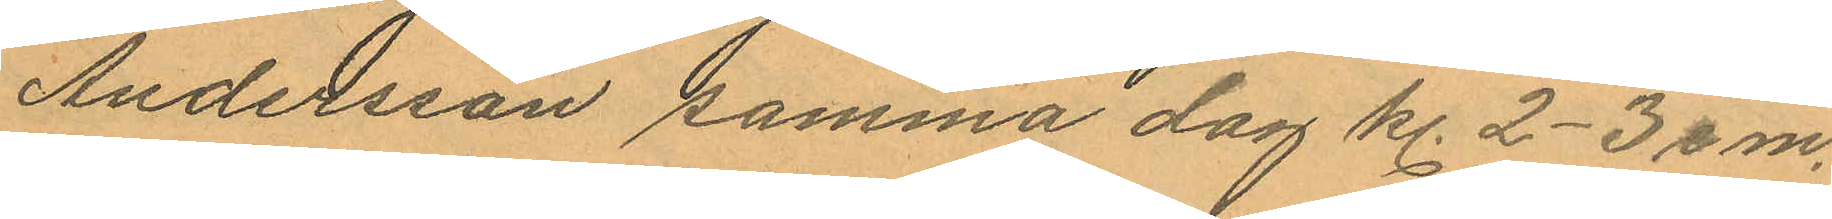Andersson samma dag kl. 2-3 em.
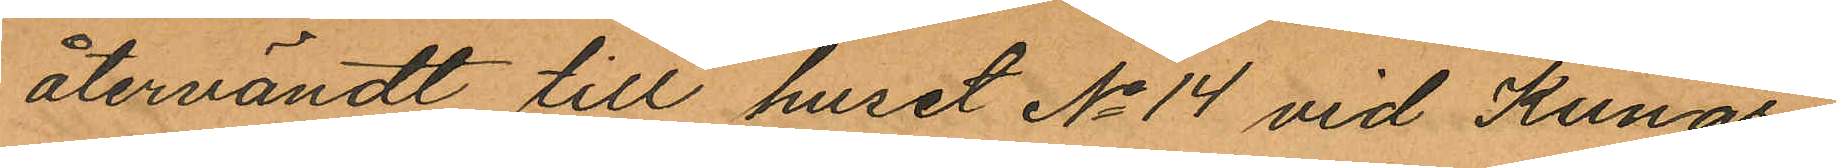återvändt till huset No 14 vid Kungs¬
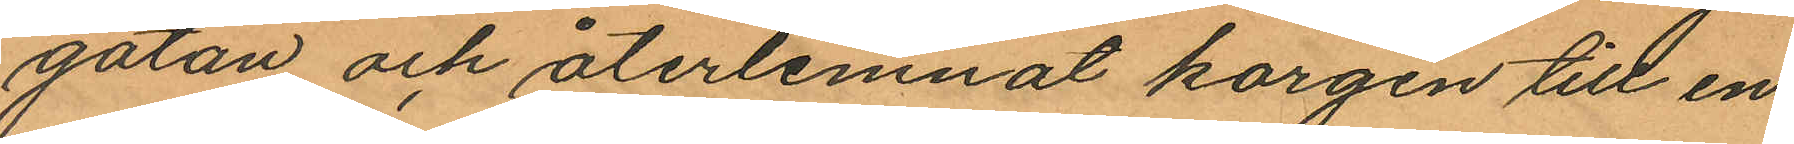gatan och återlemnat korgen till en
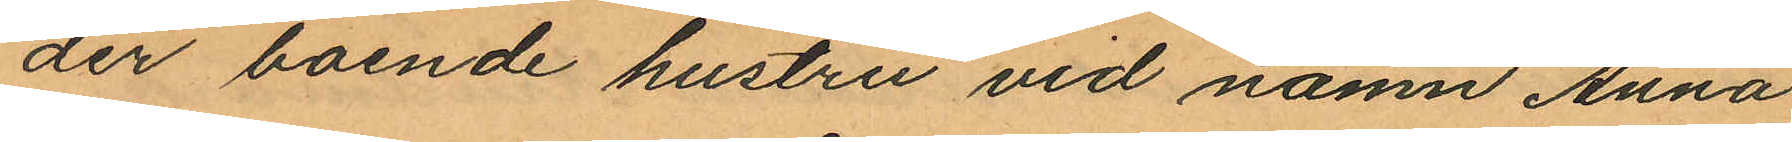der boende hustru vid namn Anna
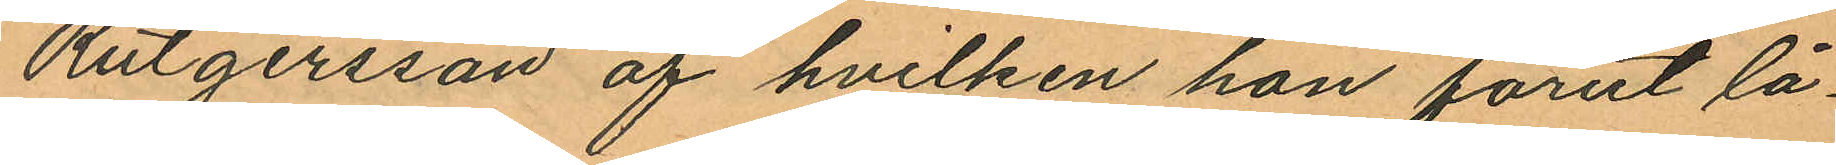Rutgersson af hvilken hon förut lå¬
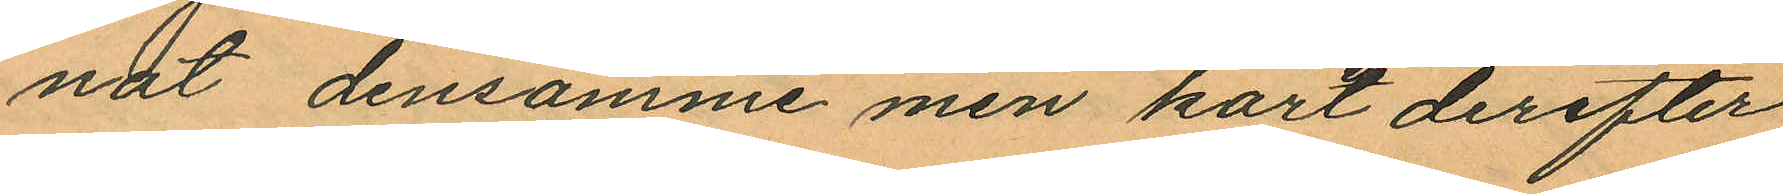nat densamme men kort derefter
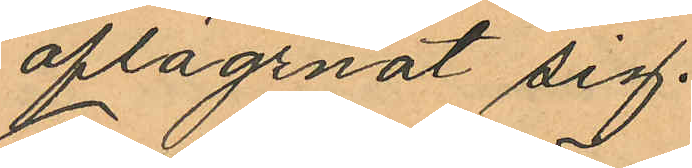aflägsnat sig.
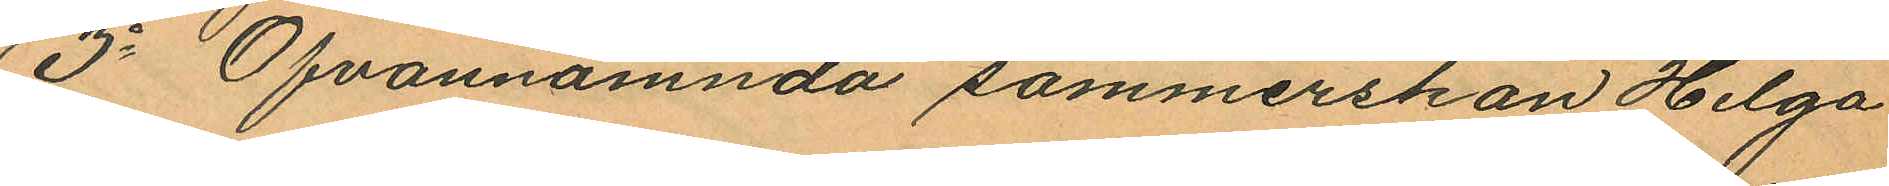3o Ofvannämnda sömmerskan Helga
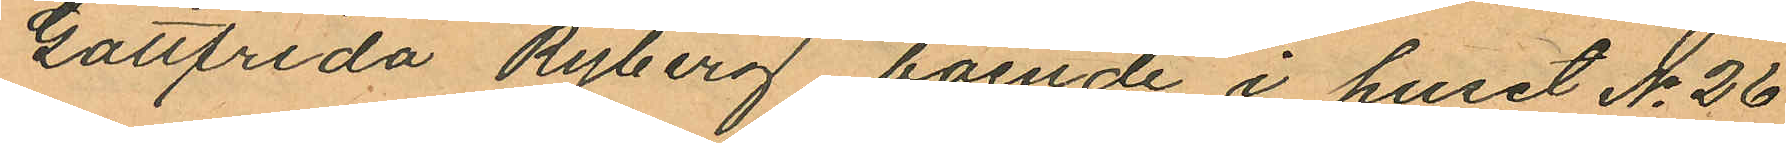Gottfrida Ryberg, boende i huset No 26
